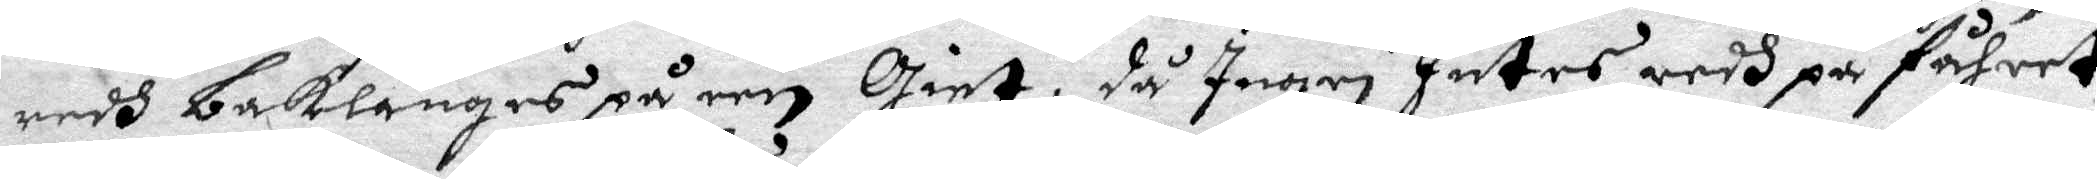redh baklänges på een giet, då Ingri Jutes redh på fåhret
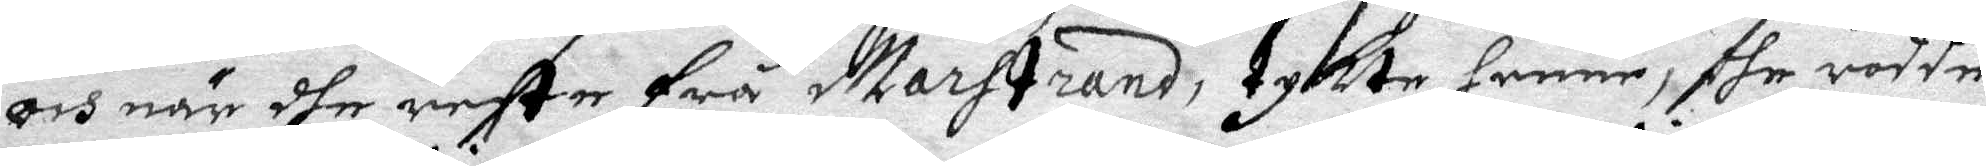och när dhe reste frå Marstrand, tykte henne, dhe rodde
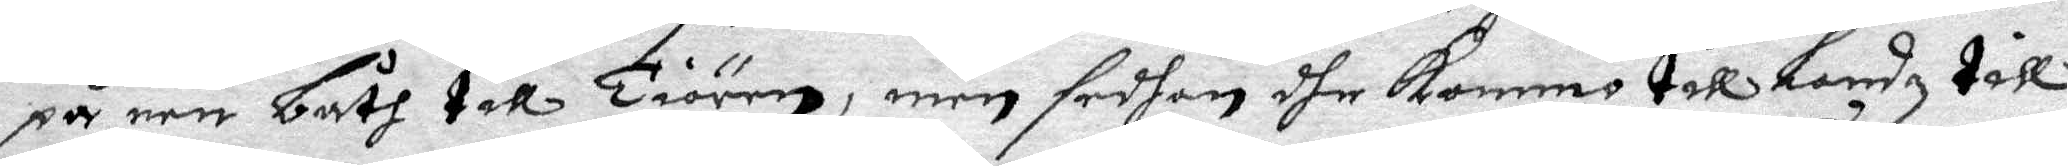på een bpth till Tiörn, men sedhan dhe kommo till Landz till
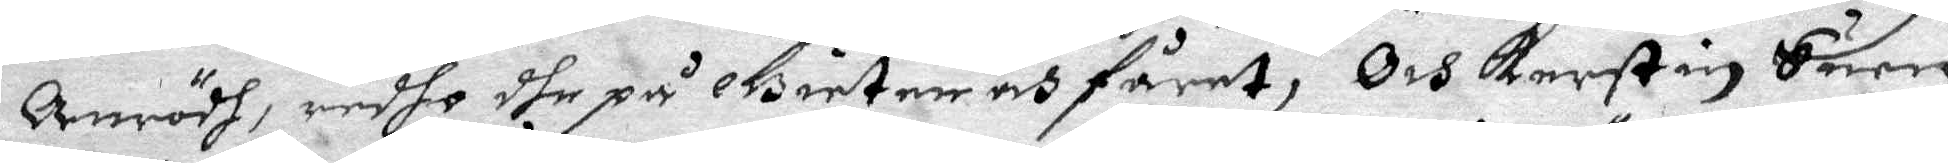Arnrödh, redho dhe på Gieten och fåret, Och Kerstin Suen
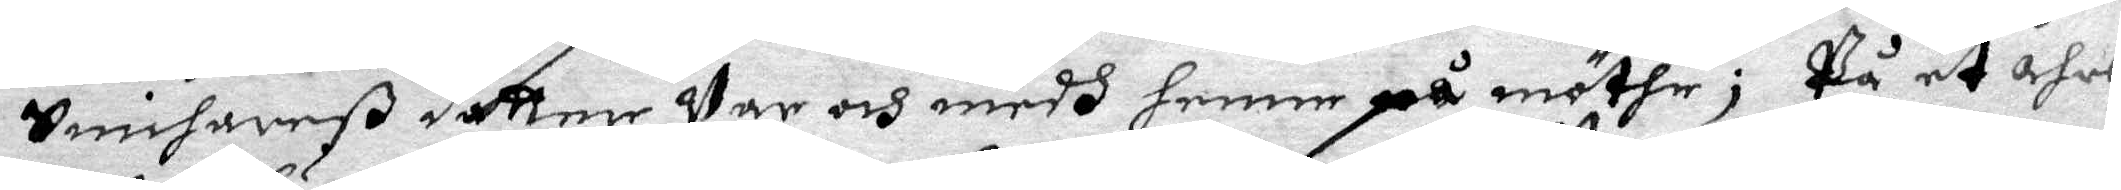Snichareß dåtter Var och medh henne på möthe; På et åhrs
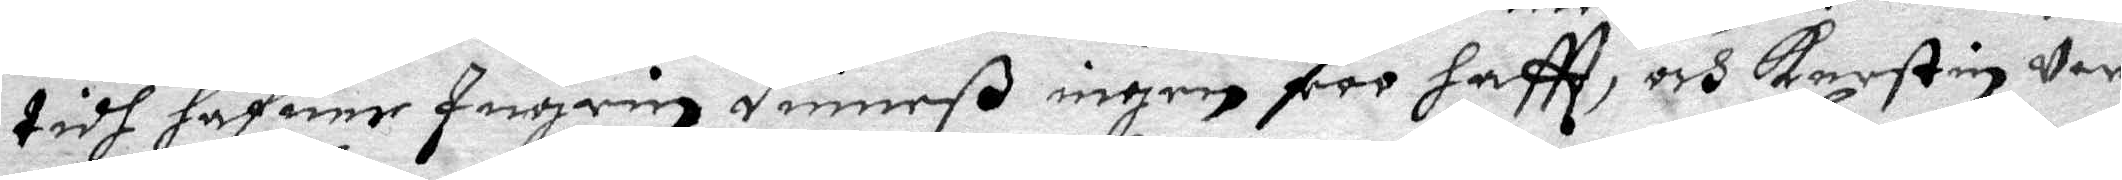tidh hafuer Ingrin Dimeß ingen roo haftt, och Kerstin Var
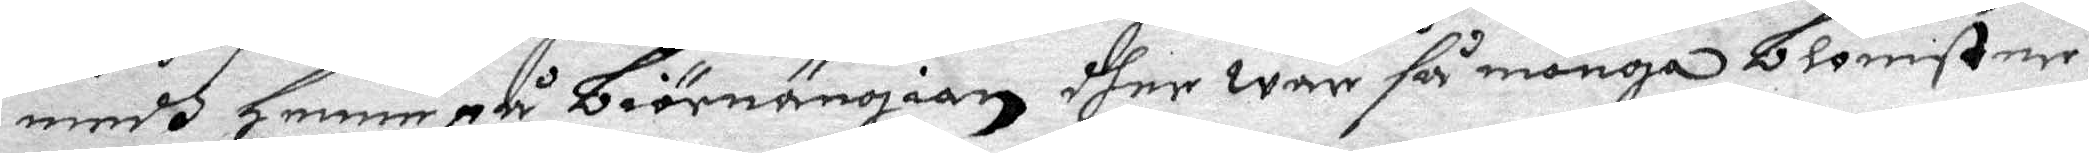medh henne på Biörnängen dher war så många Blomster,
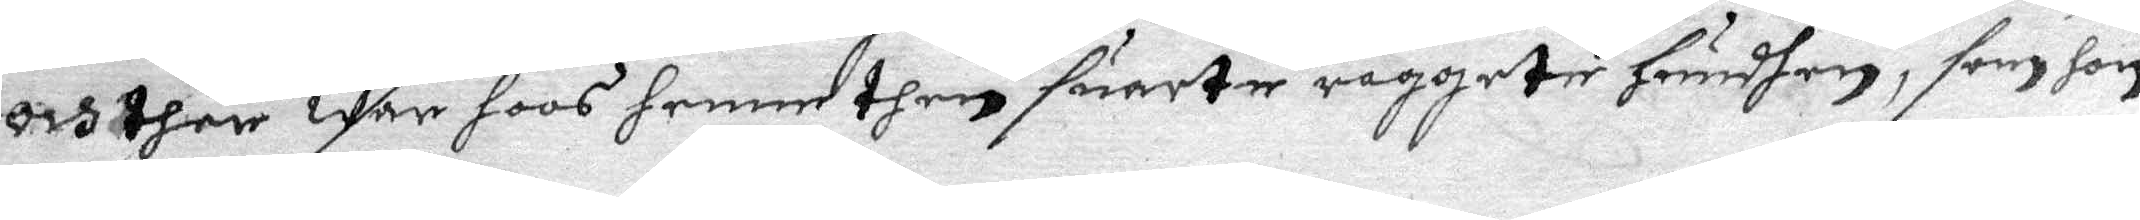och ther war hoos henne then suarte raggete hundhen, som hon
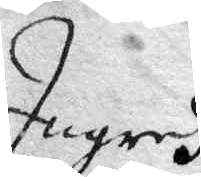Ingredh
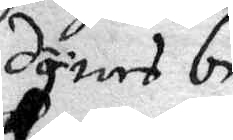dynes be¬
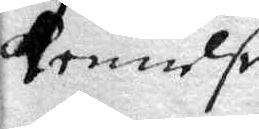kennelse.
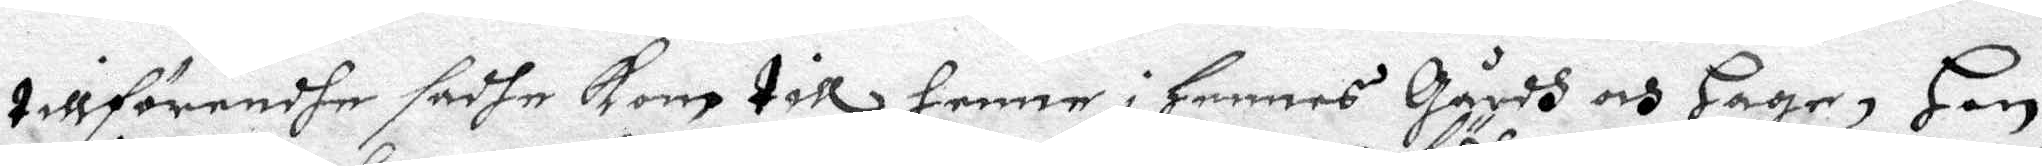tillförendhe sadhe kom till henne i Hennes gårdh och Hage, Han
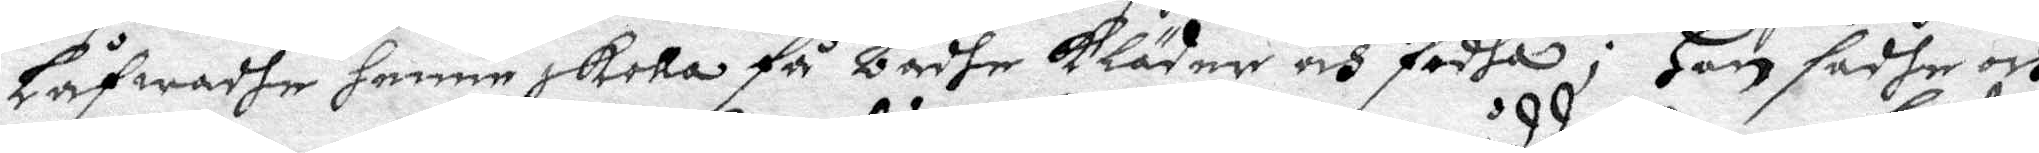Låfwadhe henne skolla få bådhe kläder och födha; Han sadhe och
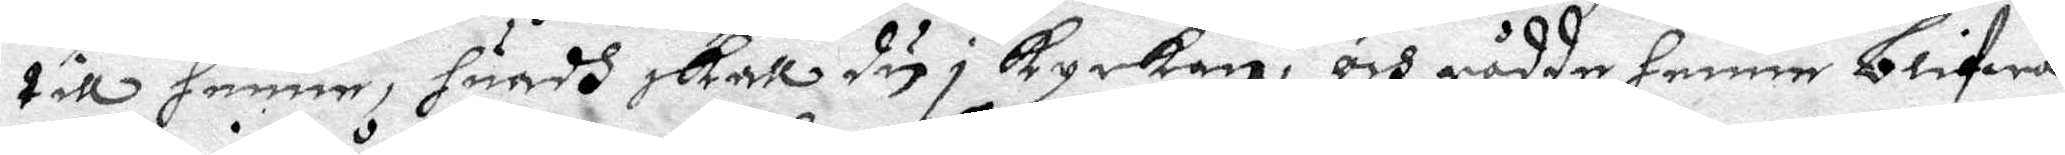till henne, huadh skall du i kyrkan, och rådde henne blifwa
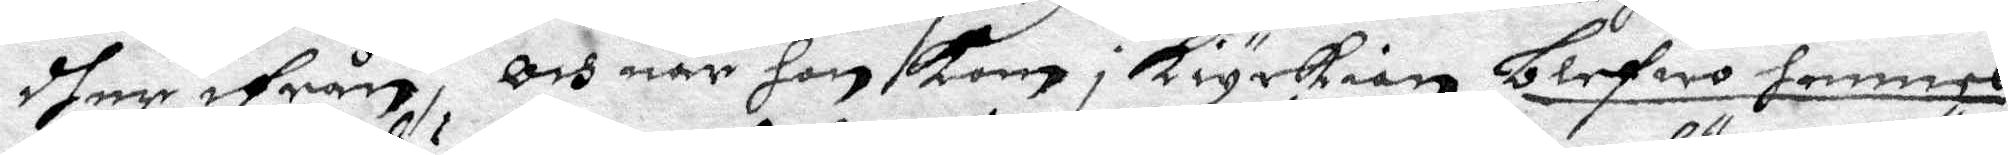dher ifrån, och när hon kom i kiyrkian blefwo hennes
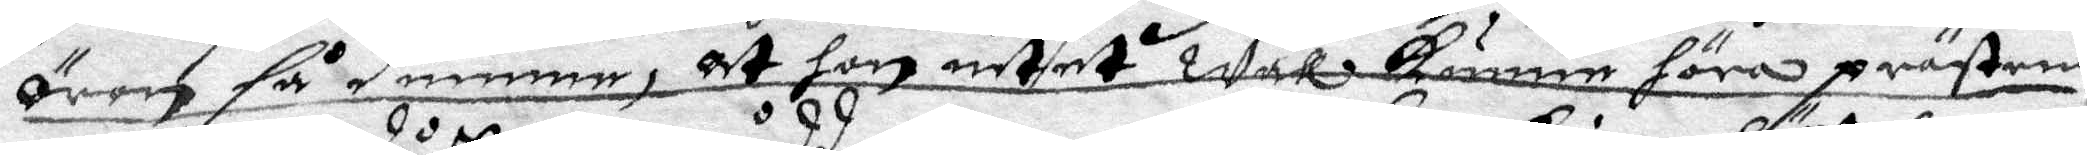öron så dumma, at hon intet wäll kunne höra prästens
